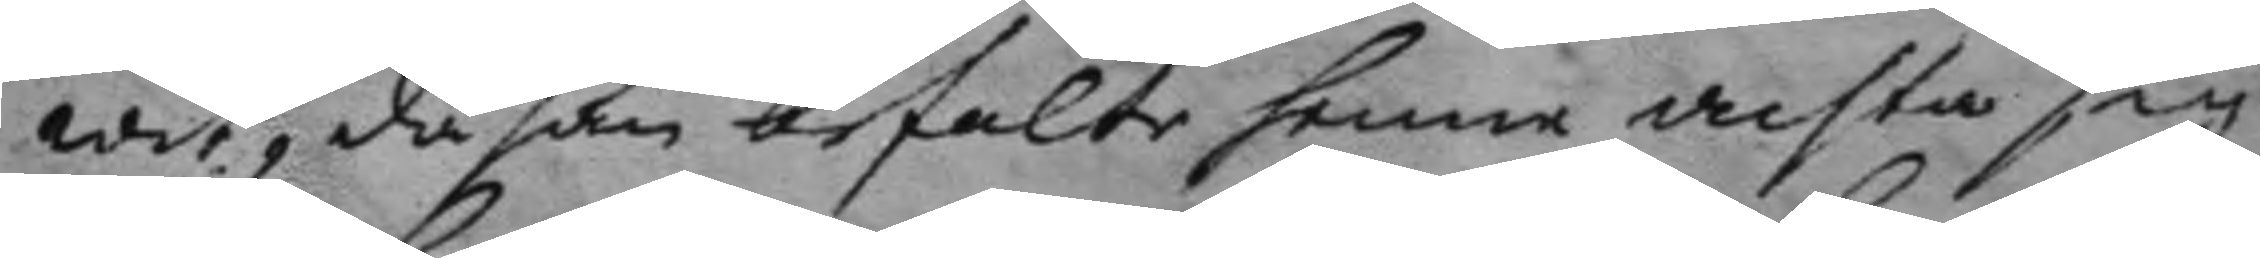wit, då han befalte henne achta sig
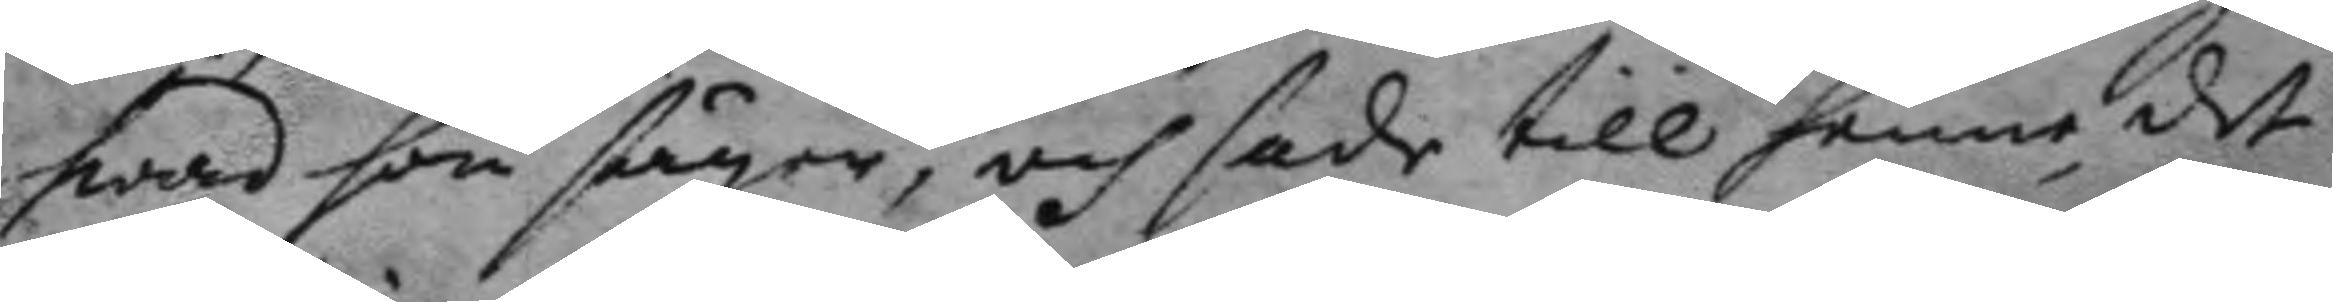hwad hon säger, och sade till henne det
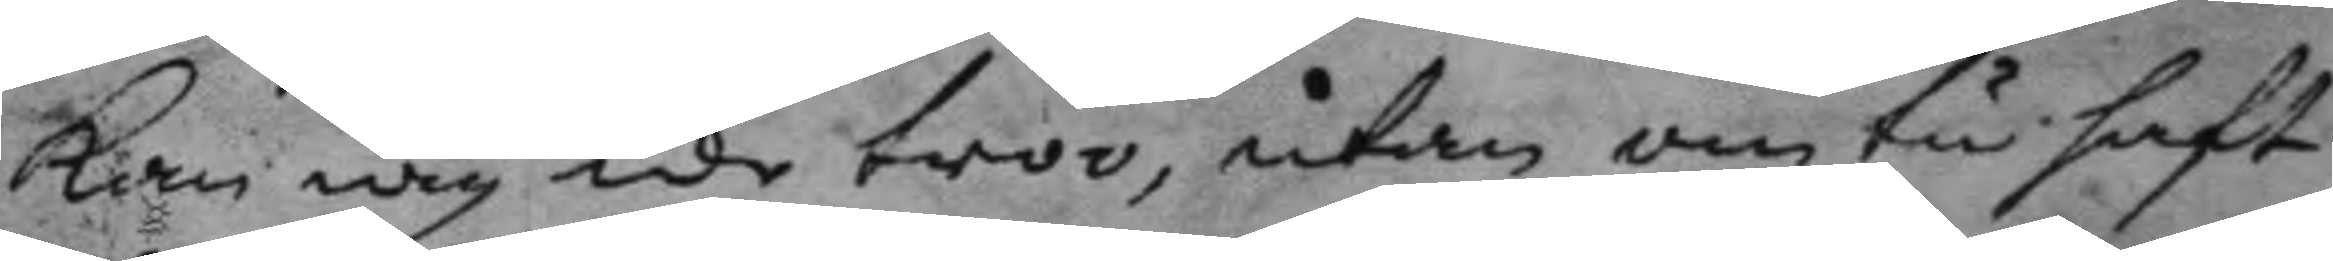kan iag icke troo, utan om tu haft
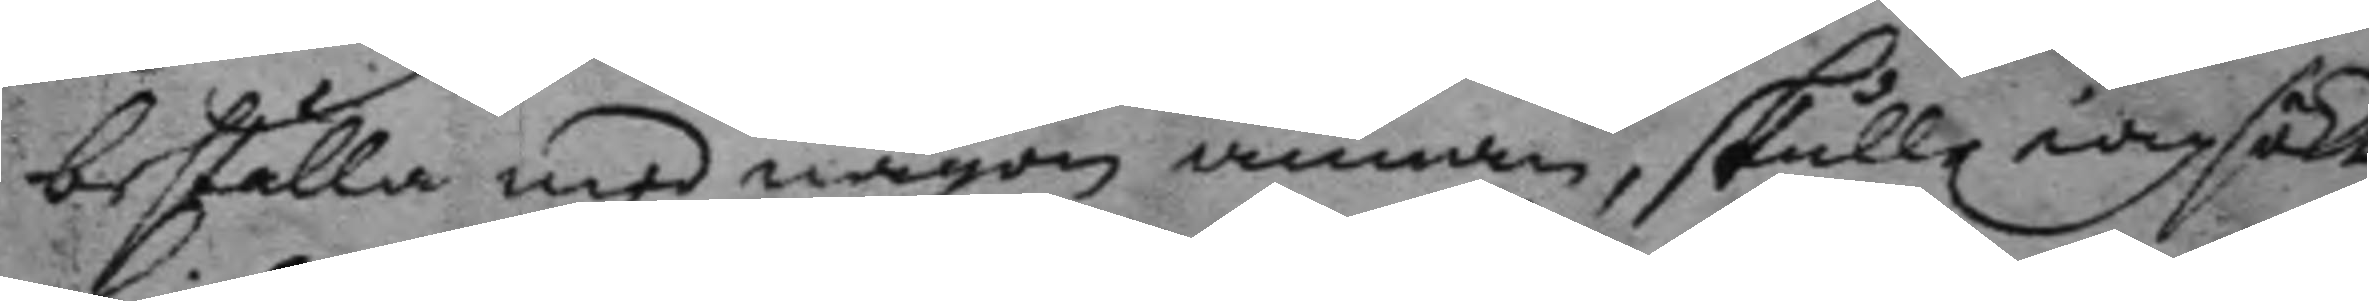beställa med någon annan, skulle iag sökt 
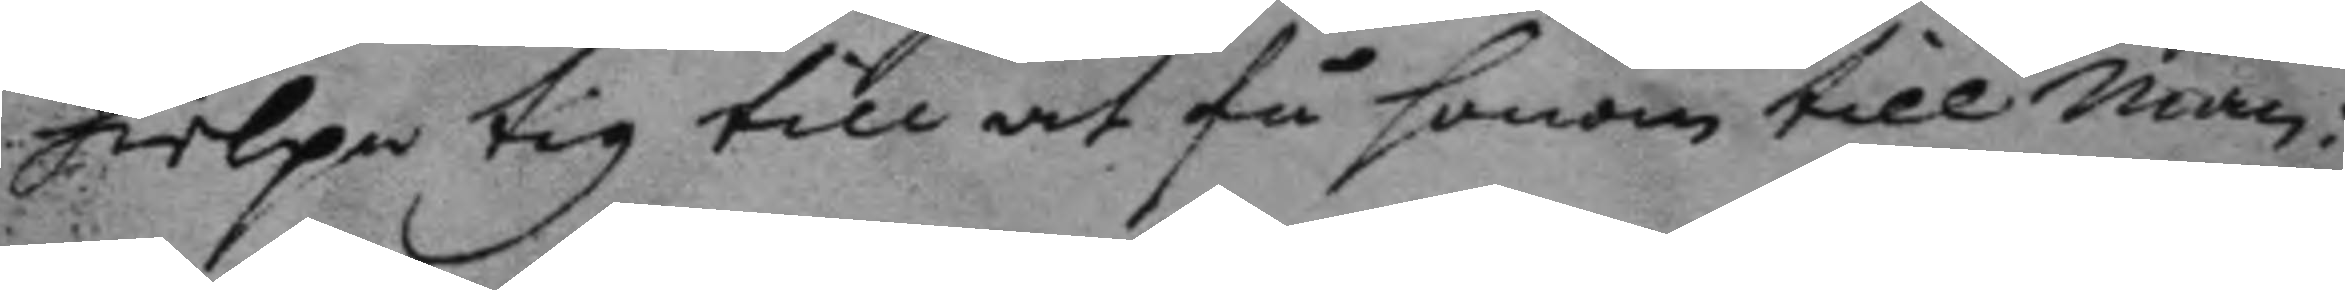hielpa tig till at få honom till man:
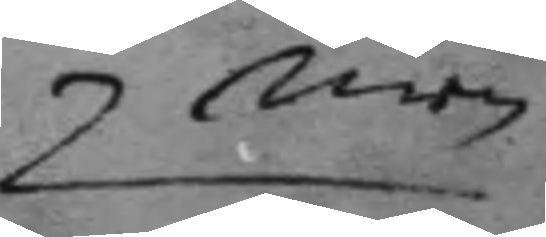men
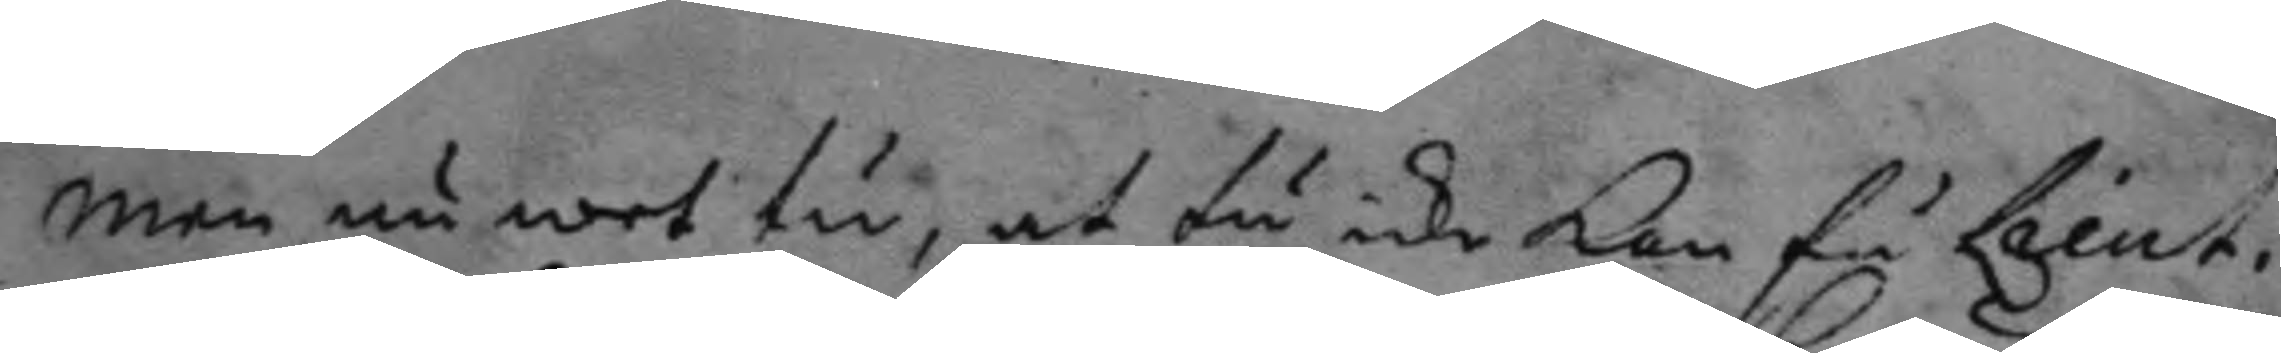men nu wet tu, at tu icke kan få Lieut:
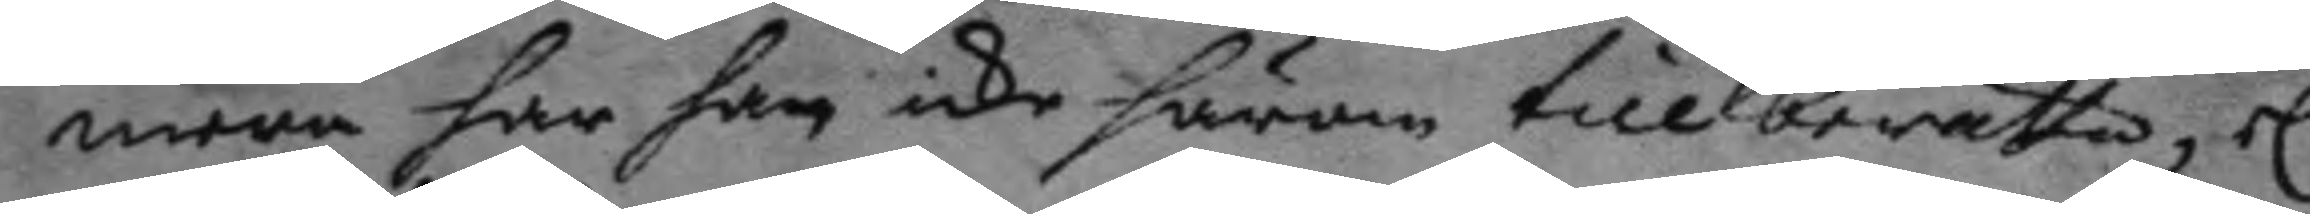mera har han icke hrom till berätta, el:
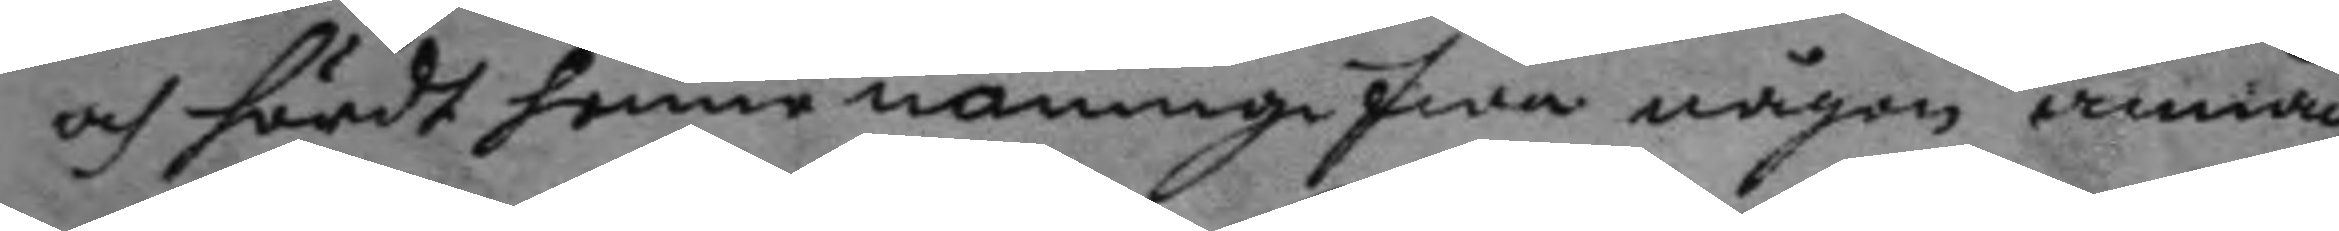och hördt henne namngifwa någon annan,
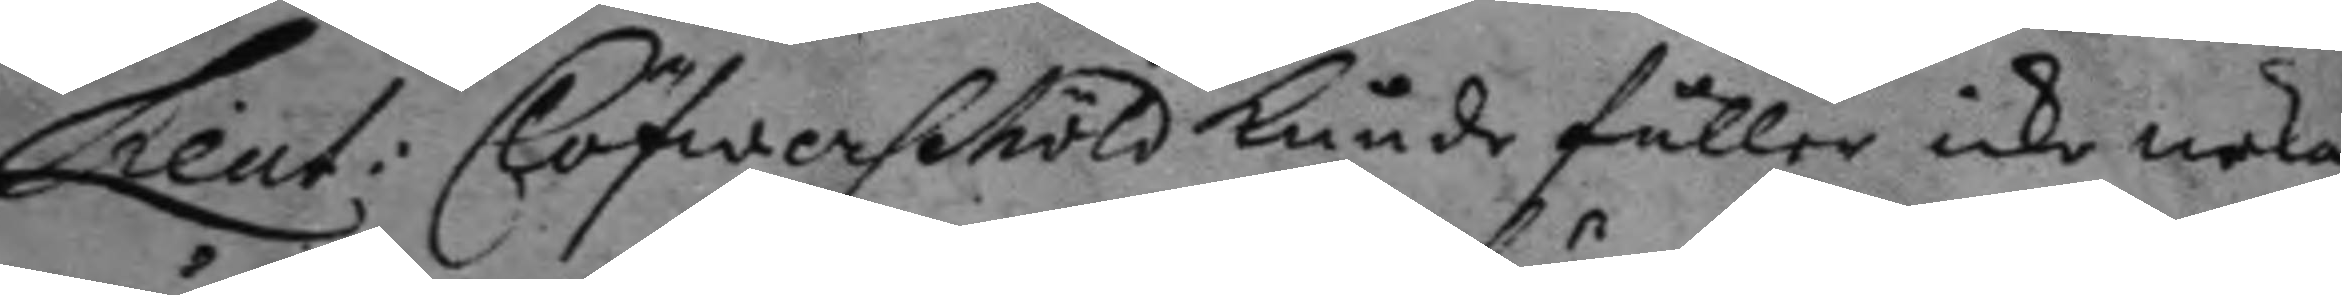Lieut: Clöfwerschöld kunde fuller icke neka
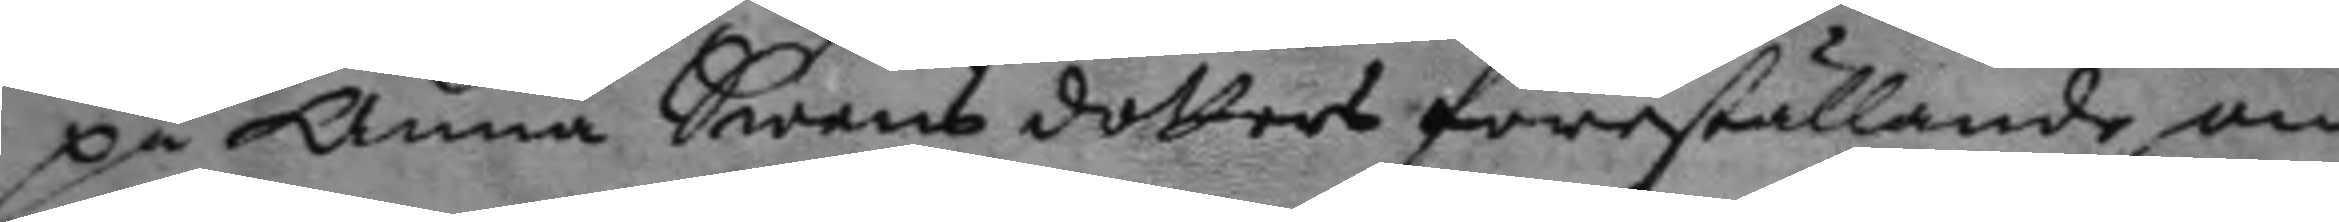på Anna Swens dotters föreställande om
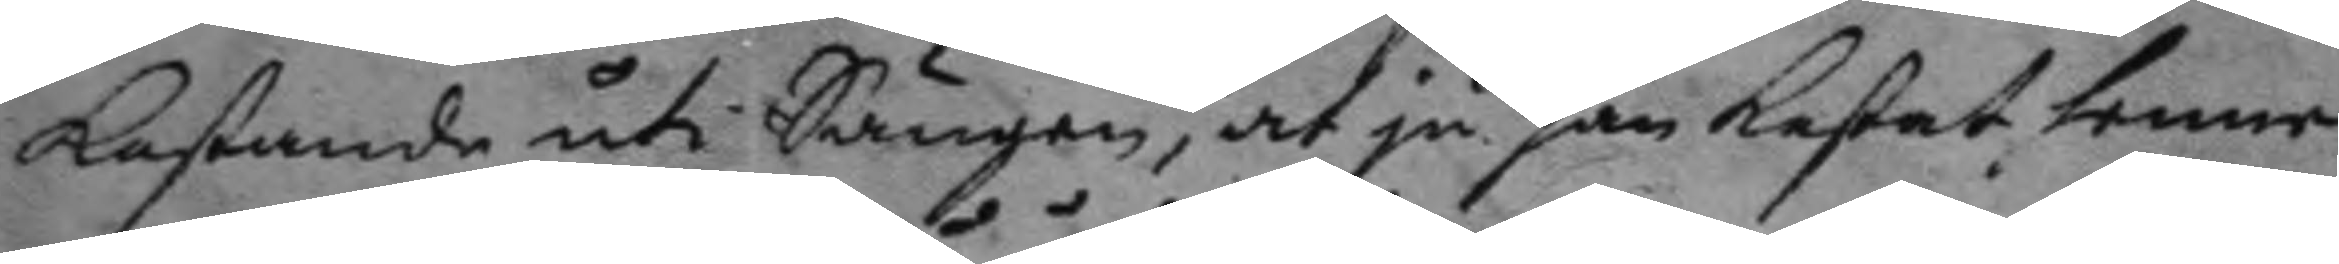kastande uti Sängen, at ju han kastat henne
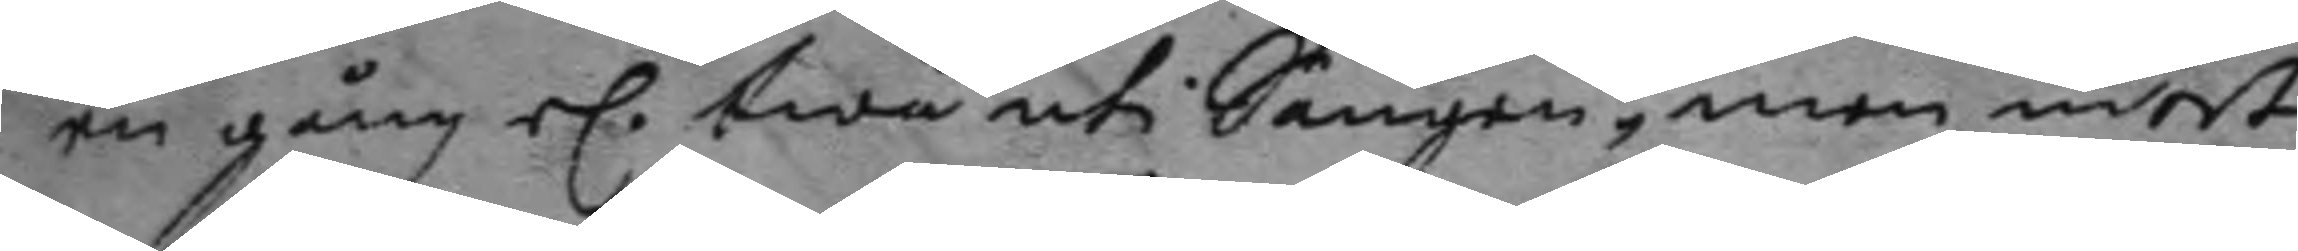en gång el. twå uti Sängen, men intet
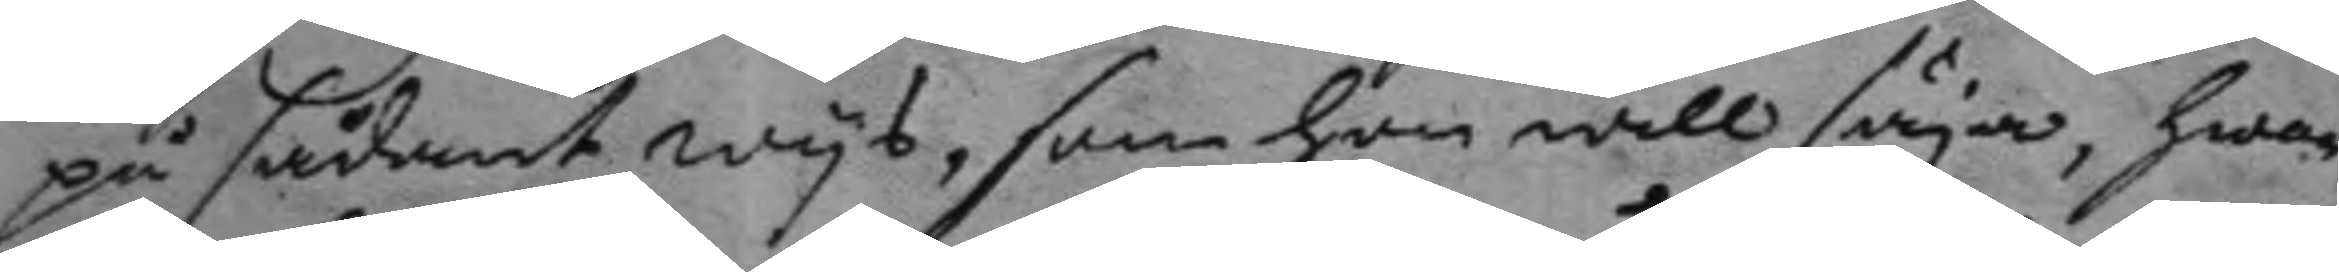på sådant wys, som hon will säya, hwar
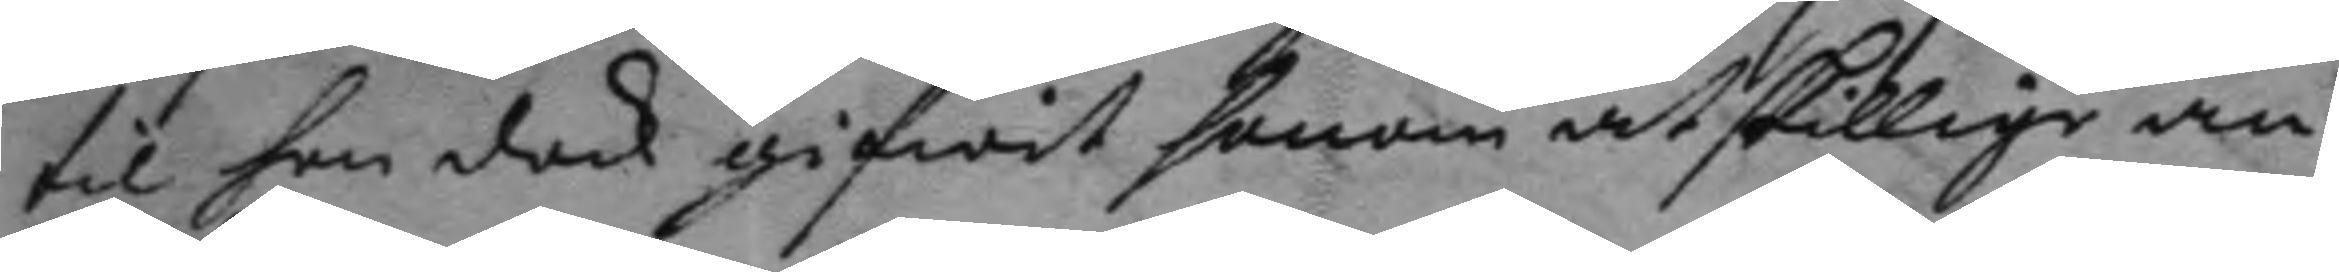til hon dock gifwit honom åtskillige an¬
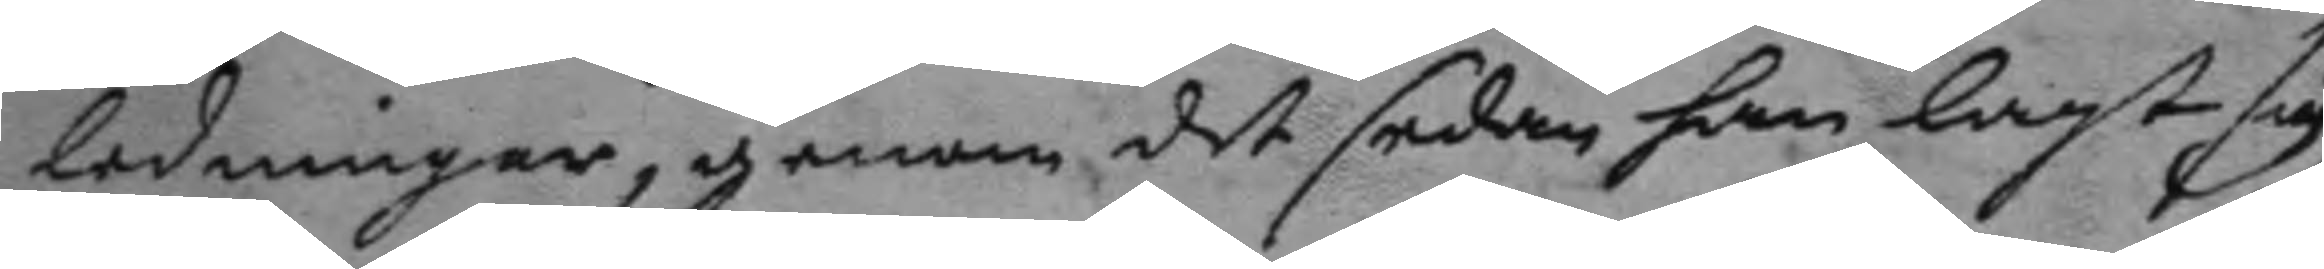ledningar, genom det sedan han lagt sig,
